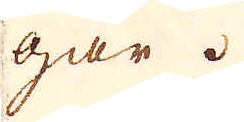går.
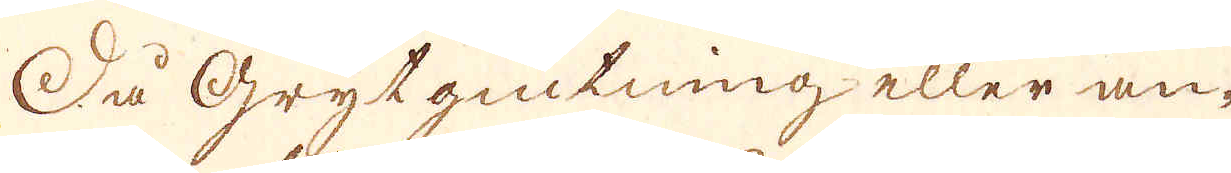Så Grytgiutning eller an-
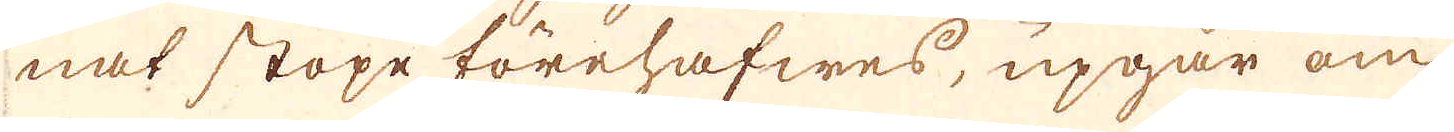nat stöpe förehafwes, upgår om
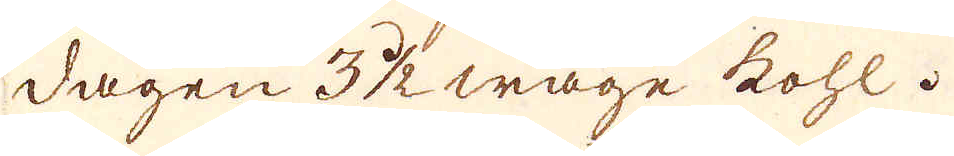dagen 3 1/2 wage kohl.
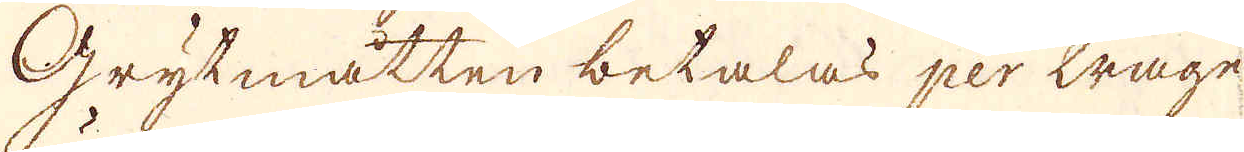Grytmåtten betalas per wagn
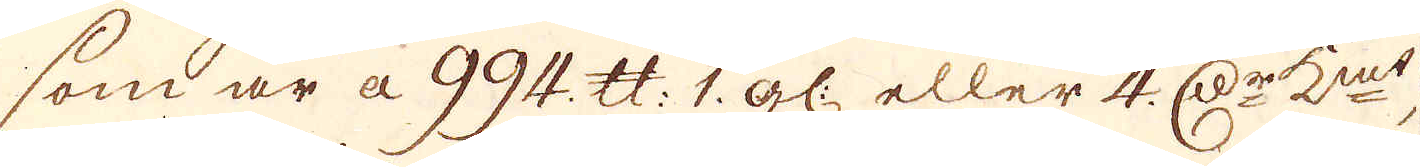som är a 994. skålpund 1 gl: eller 4. D:r K:mt,
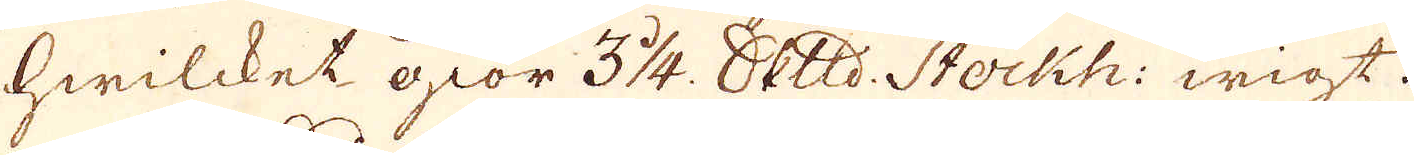hwilcket giör 3 1/4. Skeppund Stockh: wigt.
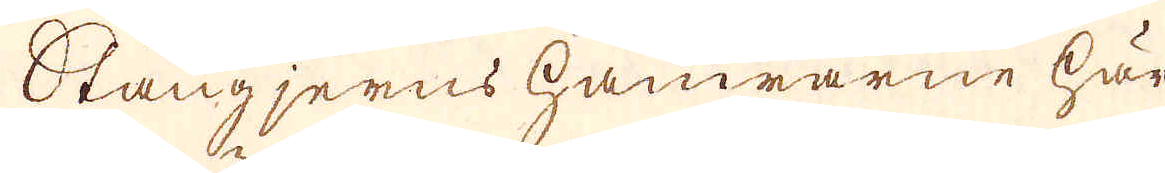Stångjerns hamrarne här
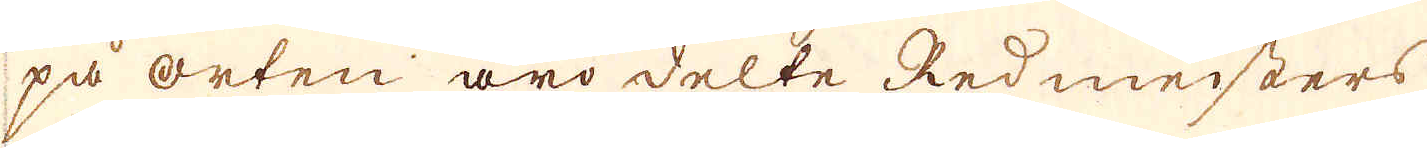på orten äro delte Redmeisters
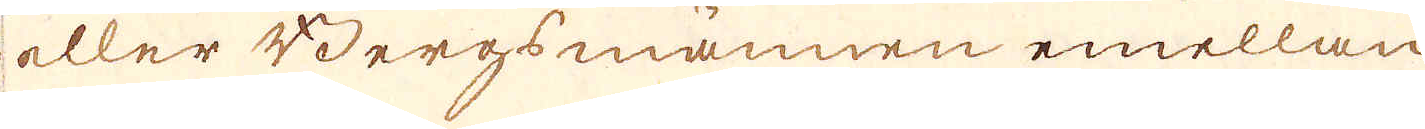eller Bergsmännen emellan
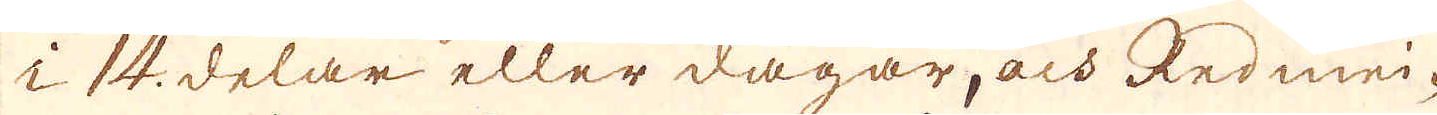i 14. delar eller dagar, och Redmei-
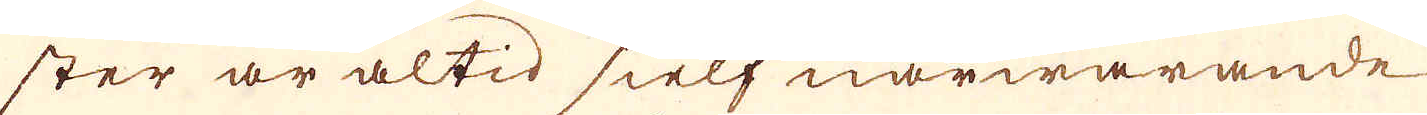ster är altid sielf närwarande
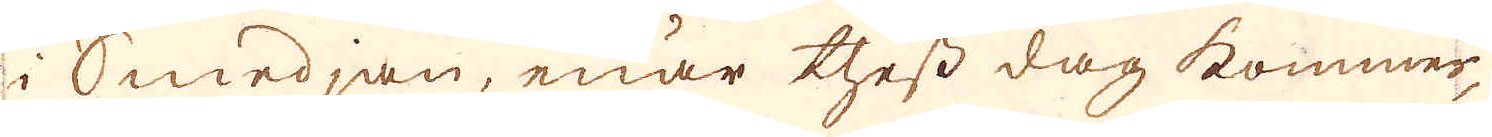i Smedjan, enär thess dag kommer,
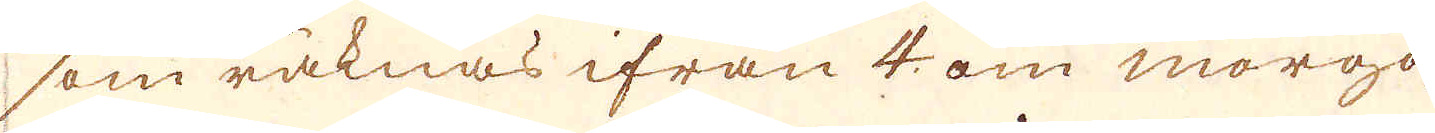som räknas ifrån 4 om morgo-
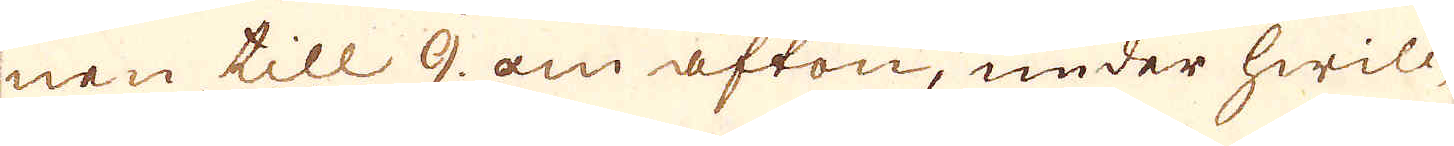nen till 9 om afton, under hwilc-
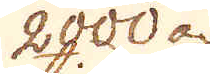2000 a
